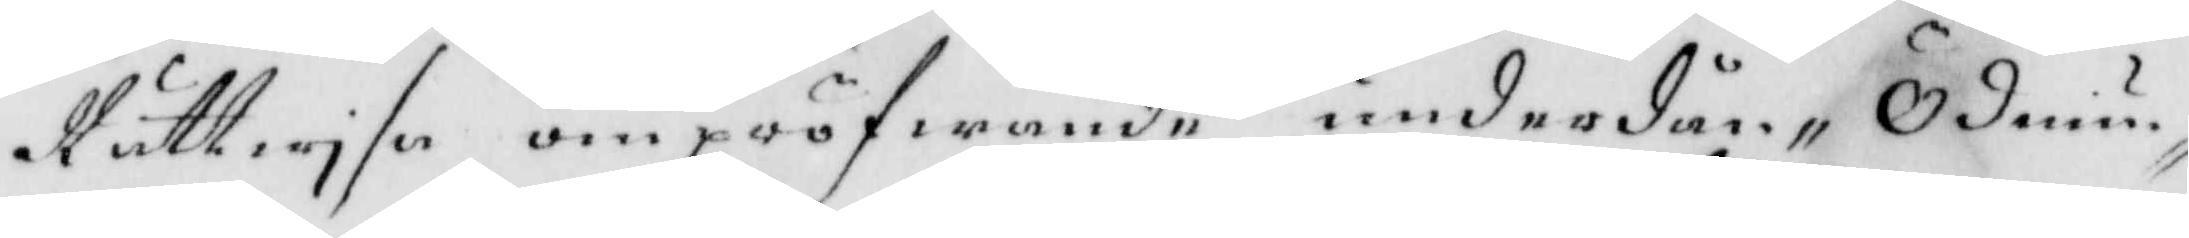Rättwyse om pröfwande underdån- Ödmiu¬
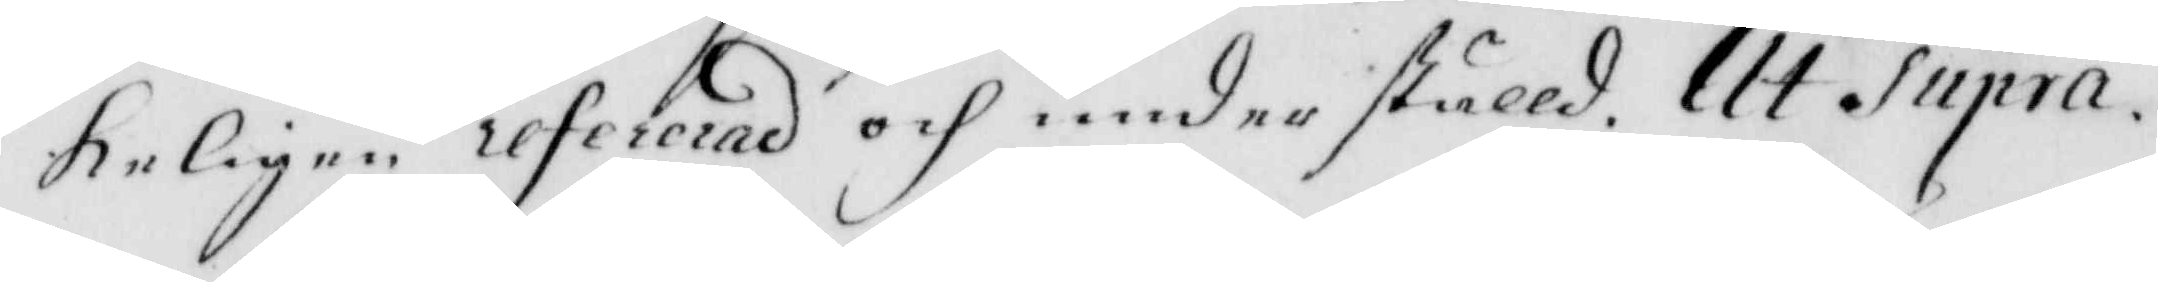keligen refererad och underställd. Ut Supra.
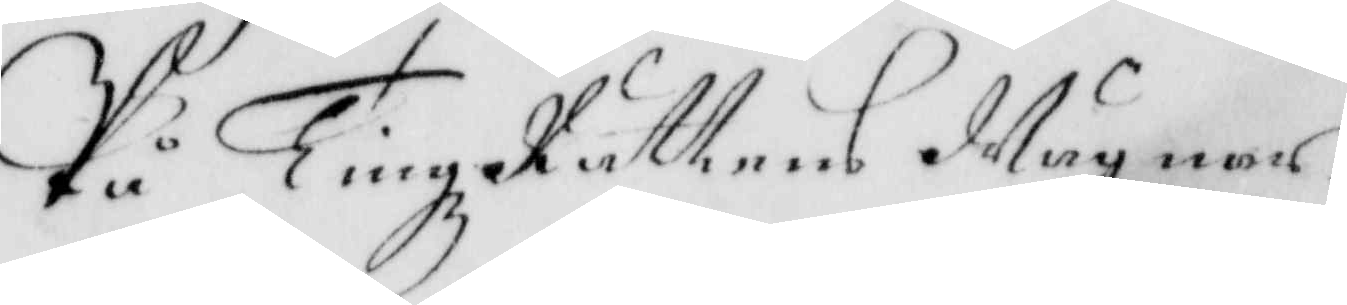På TingzRättens wägnar
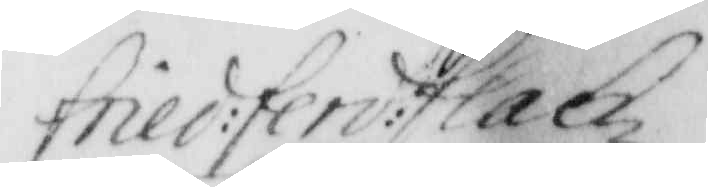fried: ferd: flach
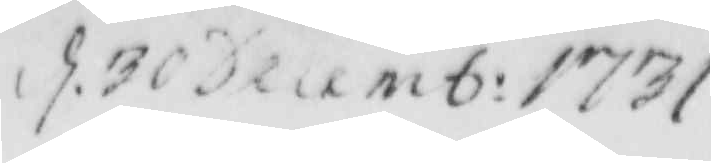d. 30 Decemb: 1731
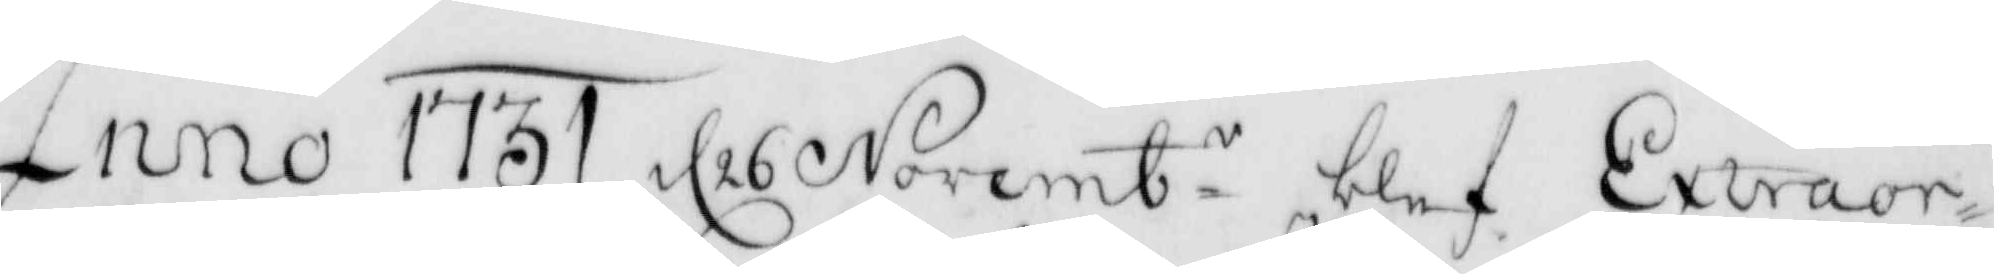Anno 1731 d 26 Novemb.r blef Extraor¬
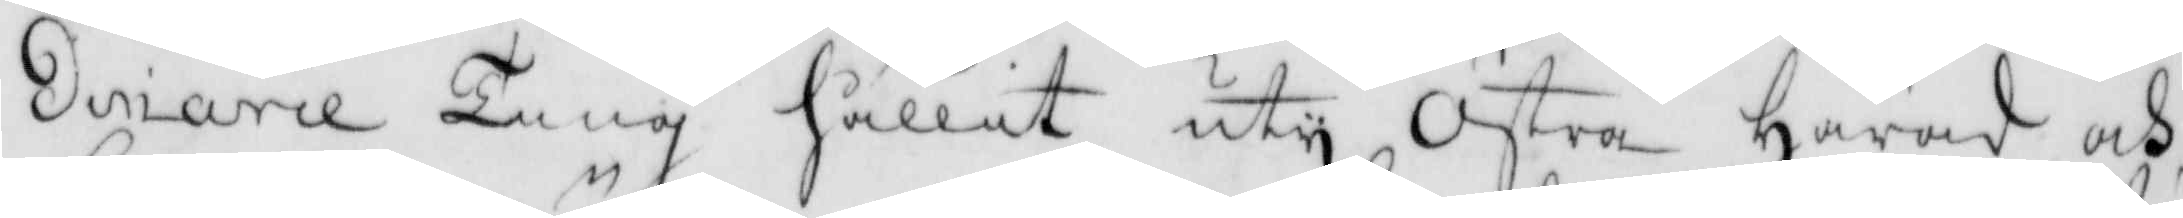dinarie Ting hållet uty Östra Härad och
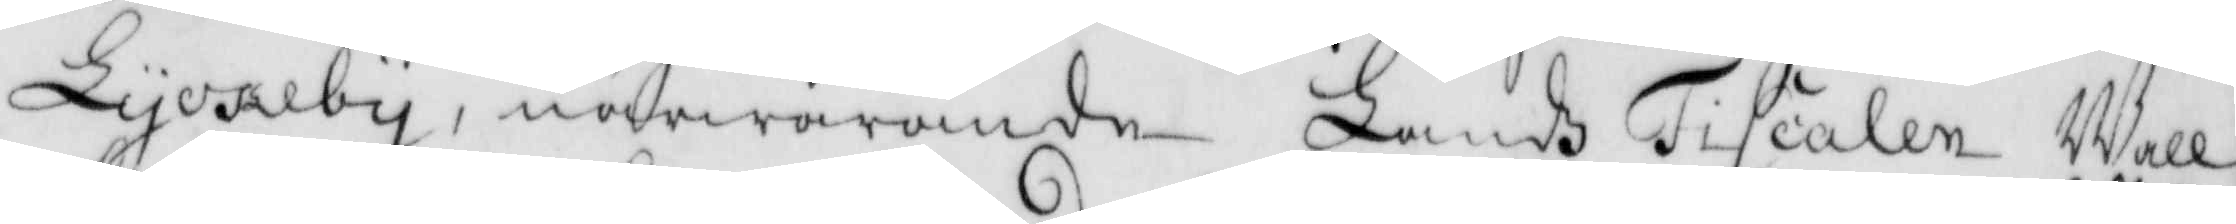Lyckeby, närwarande Lands Fiscalen Well¬
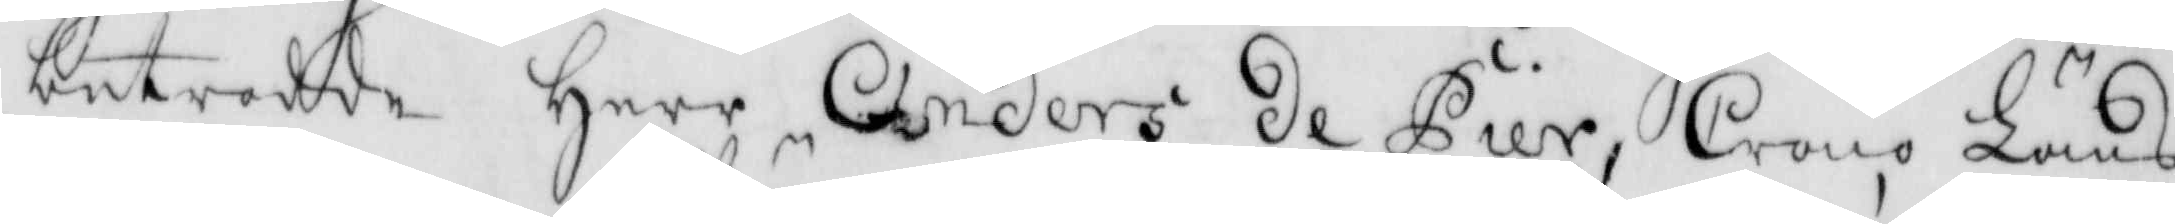betrodde Herr Anders de Gier, Crono Läns¬
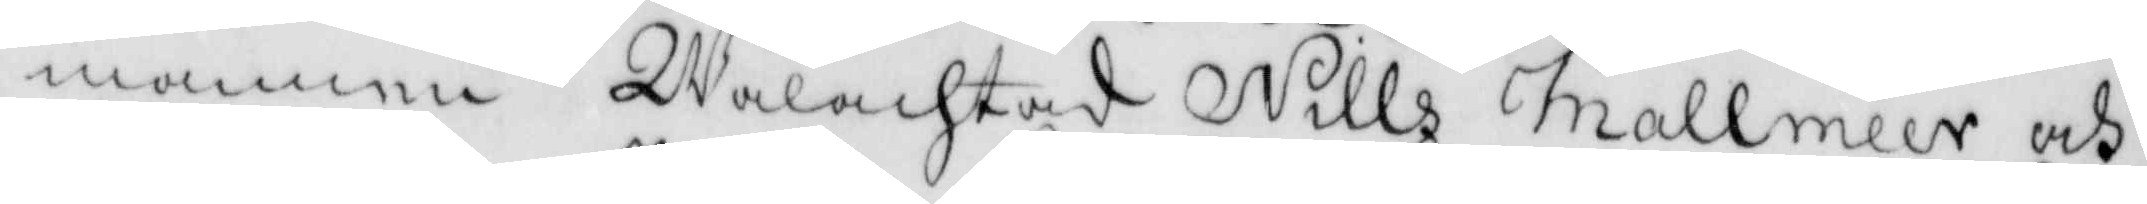mannen Wälachtad Nills Mallméer och
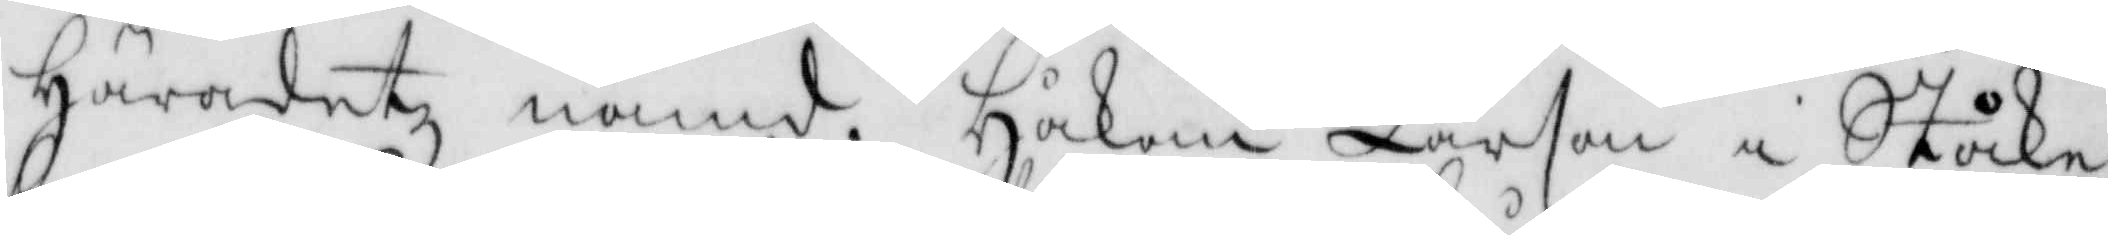Häradetz nämd. Håkan Larson i Ståcke
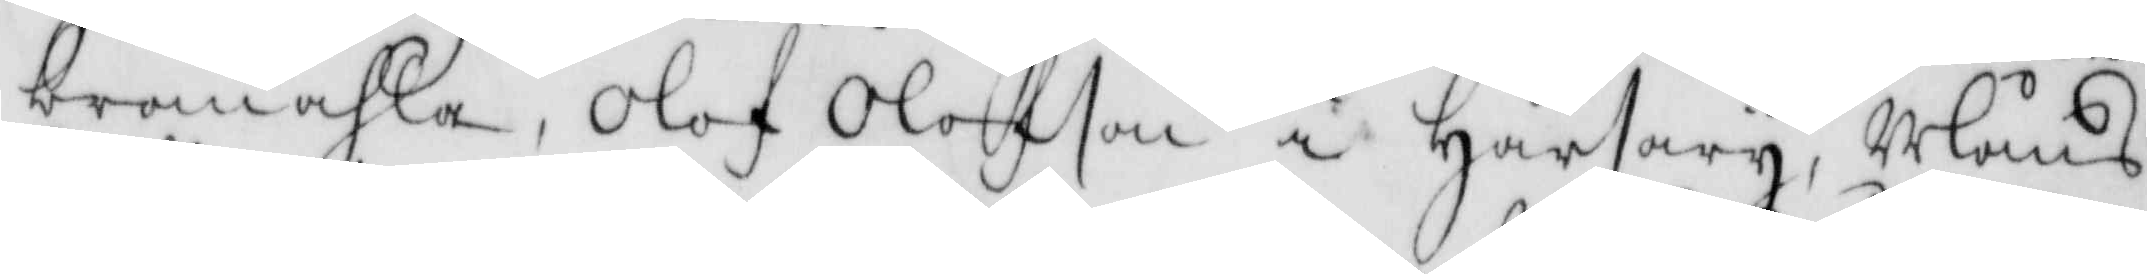bromåhla, Olof Olofson i Hårsary, Måns
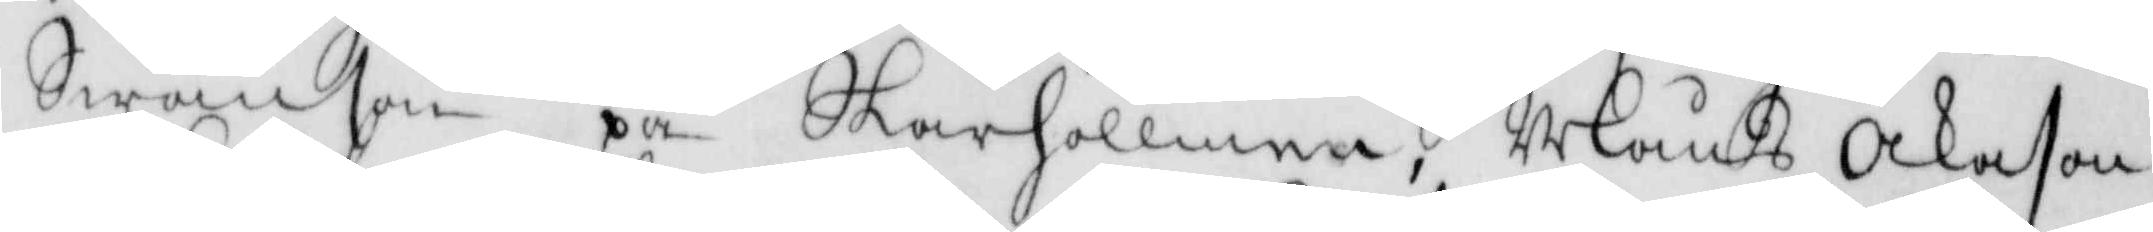Swänson på Skarhollmen, Måns Åkason
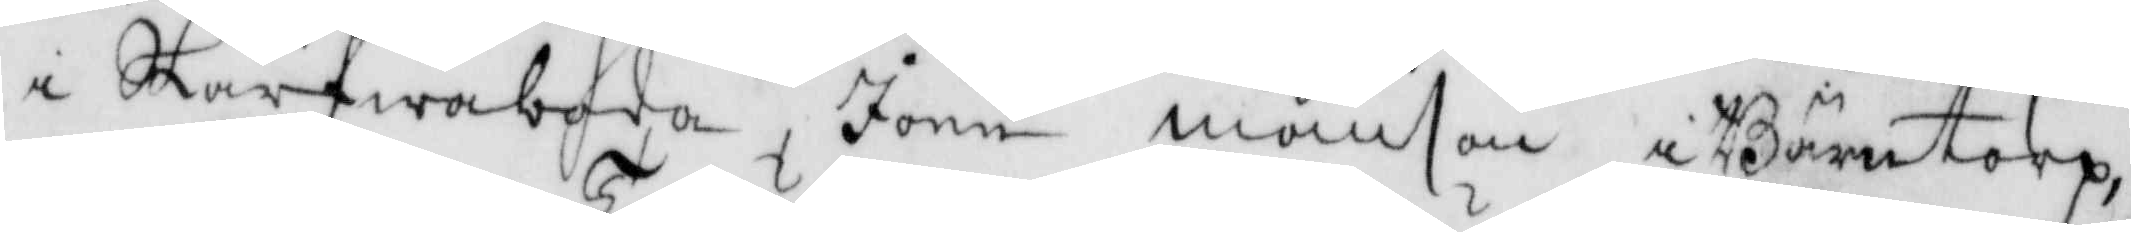i Skärfwaboda, Jonn månson i Bärntorp,
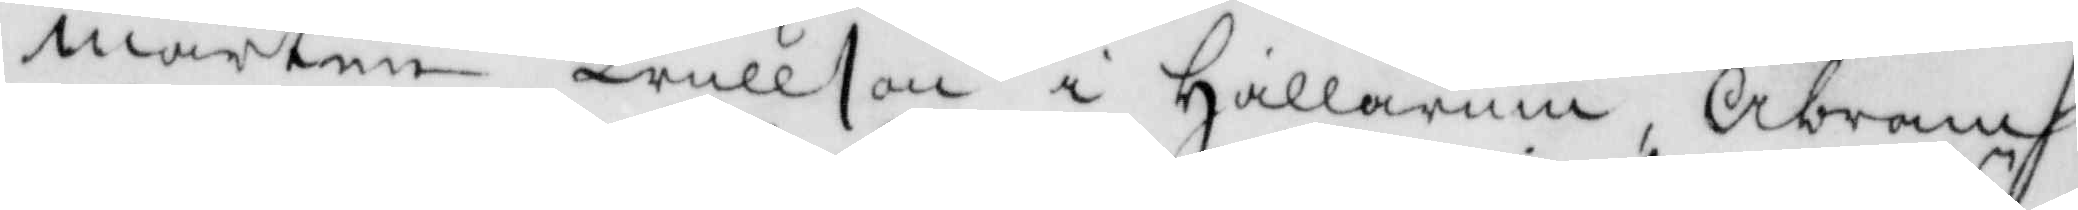mårten trullson i Hallarum, Abram
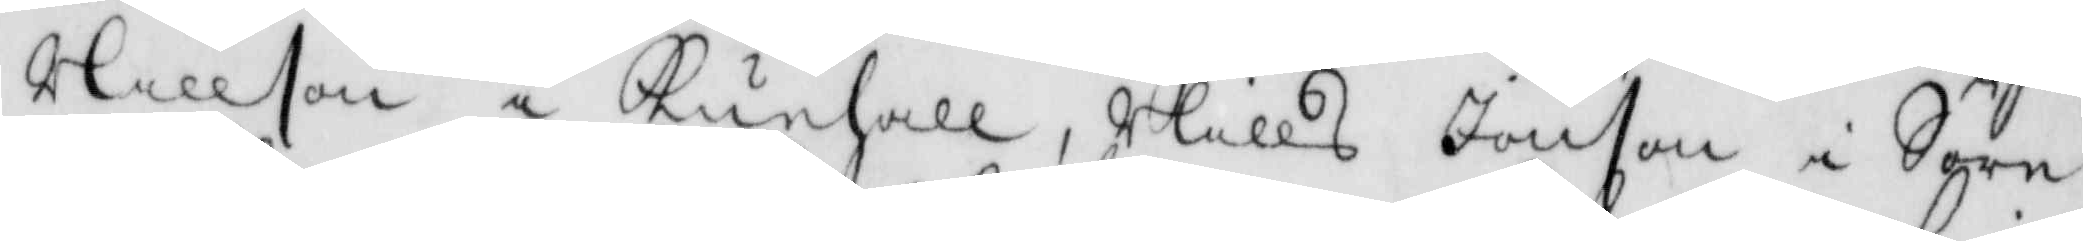Nillson i Runhall, Nills Jonson i Söre¬
